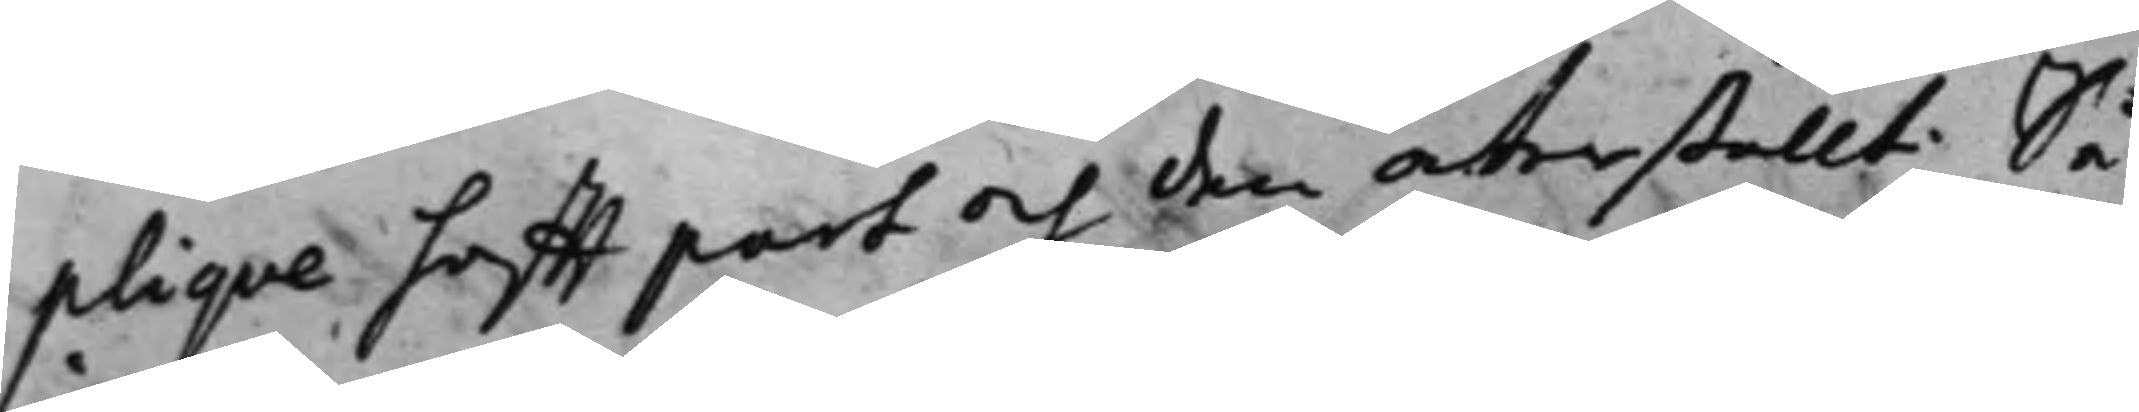pliqve hafft part och den återställt. Så
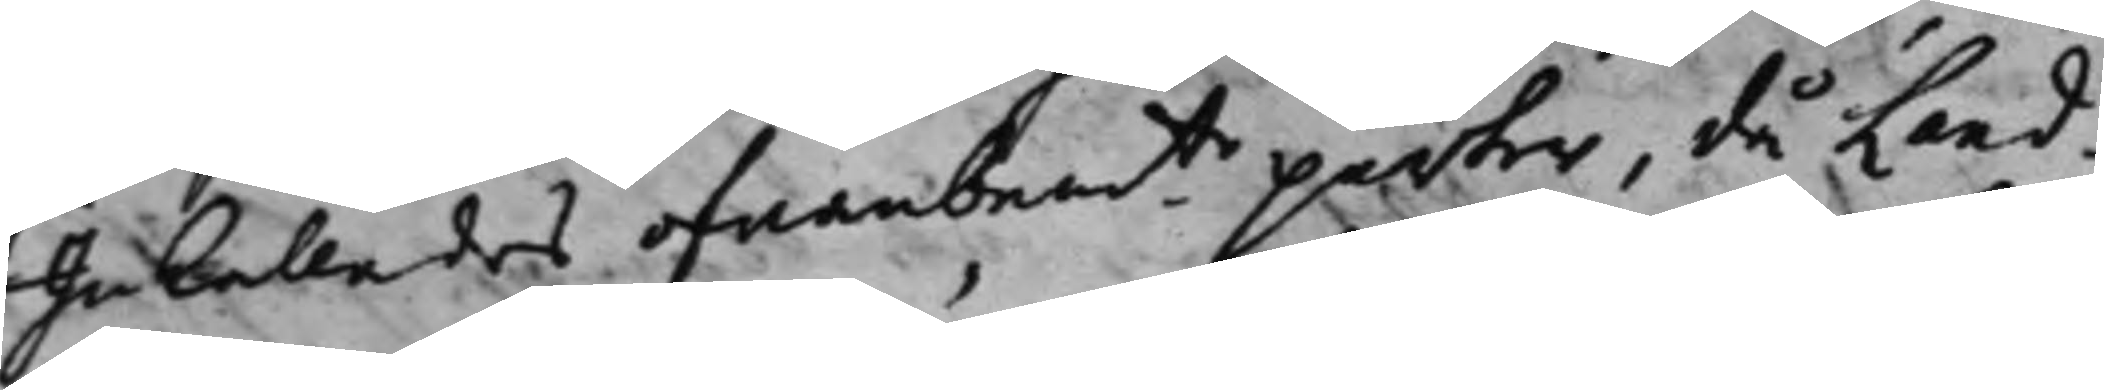Inkallades ofvanbemte parter, då Land¬
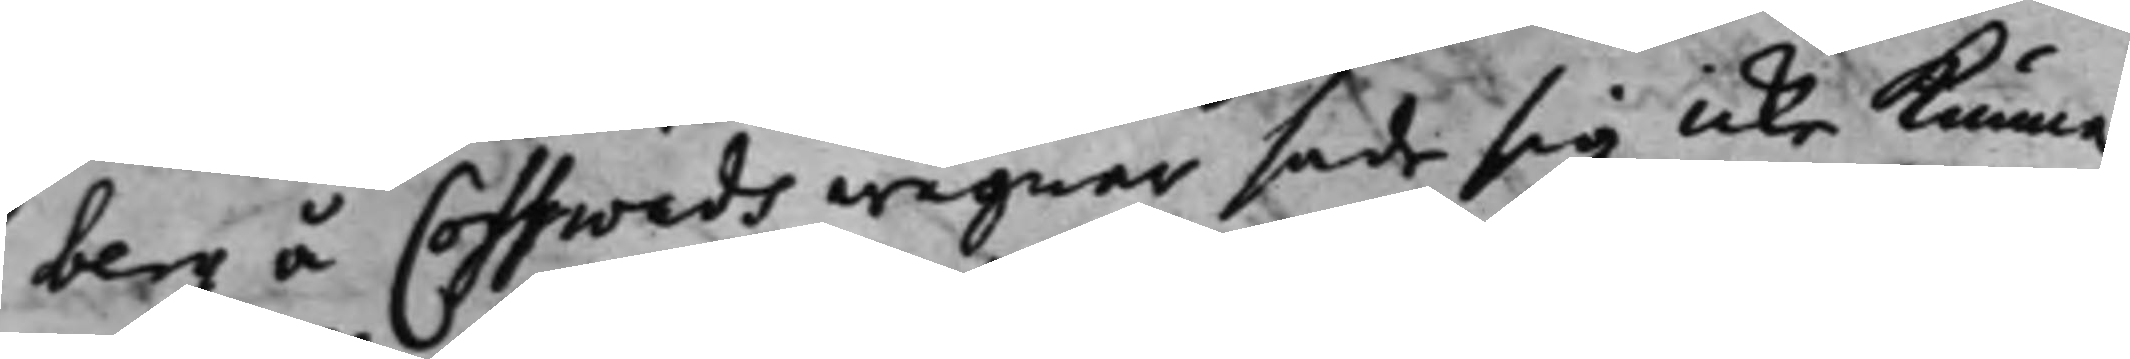berg å Cosswads wägnar sade sig icke kunna
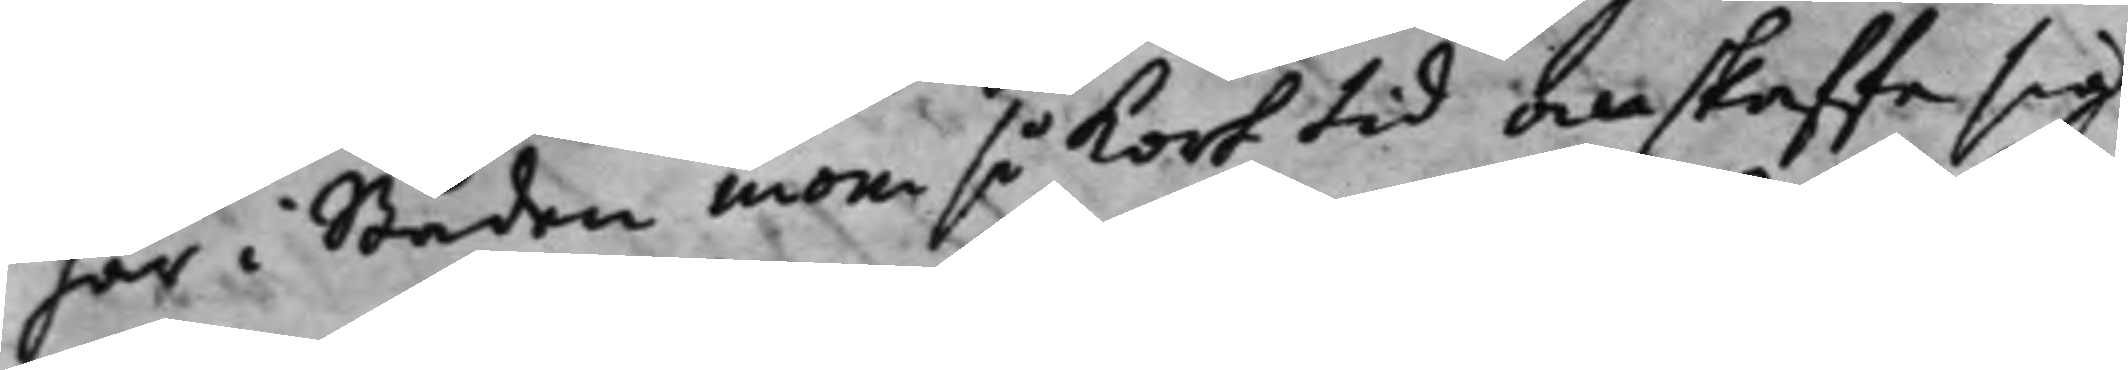här i Staden inom så kort tid anskaffa sig
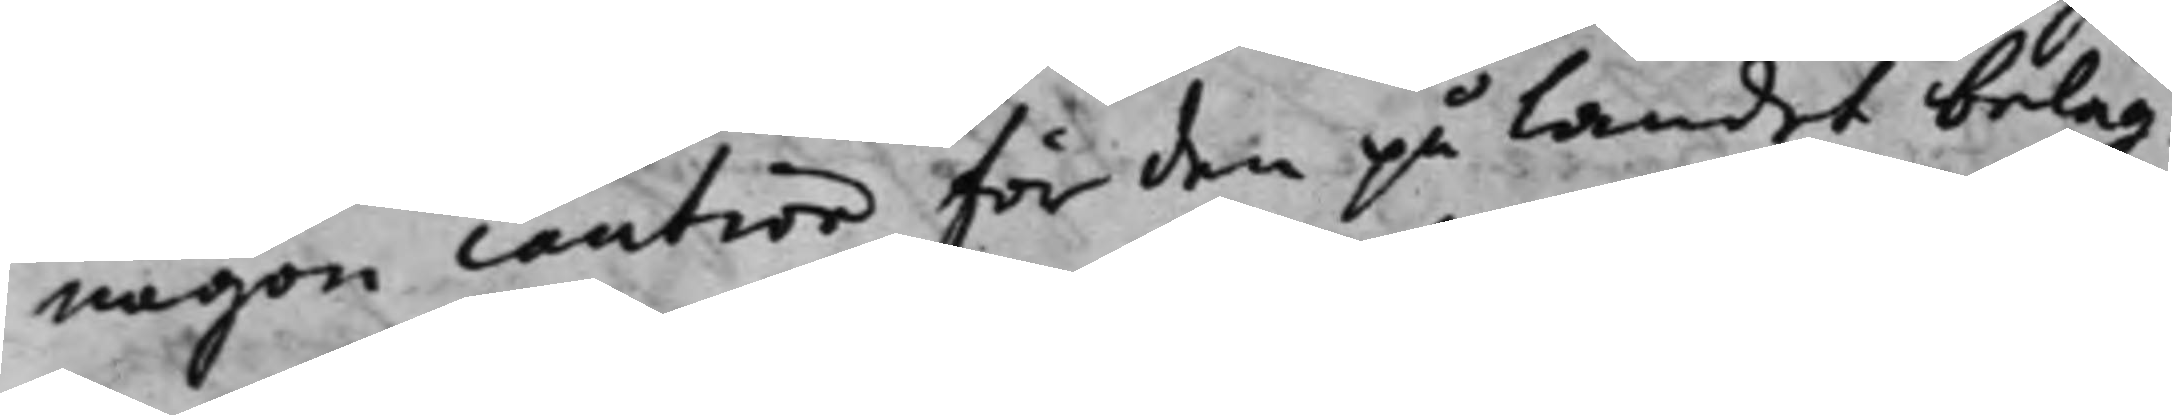någon caution för den på Landet beläg¬
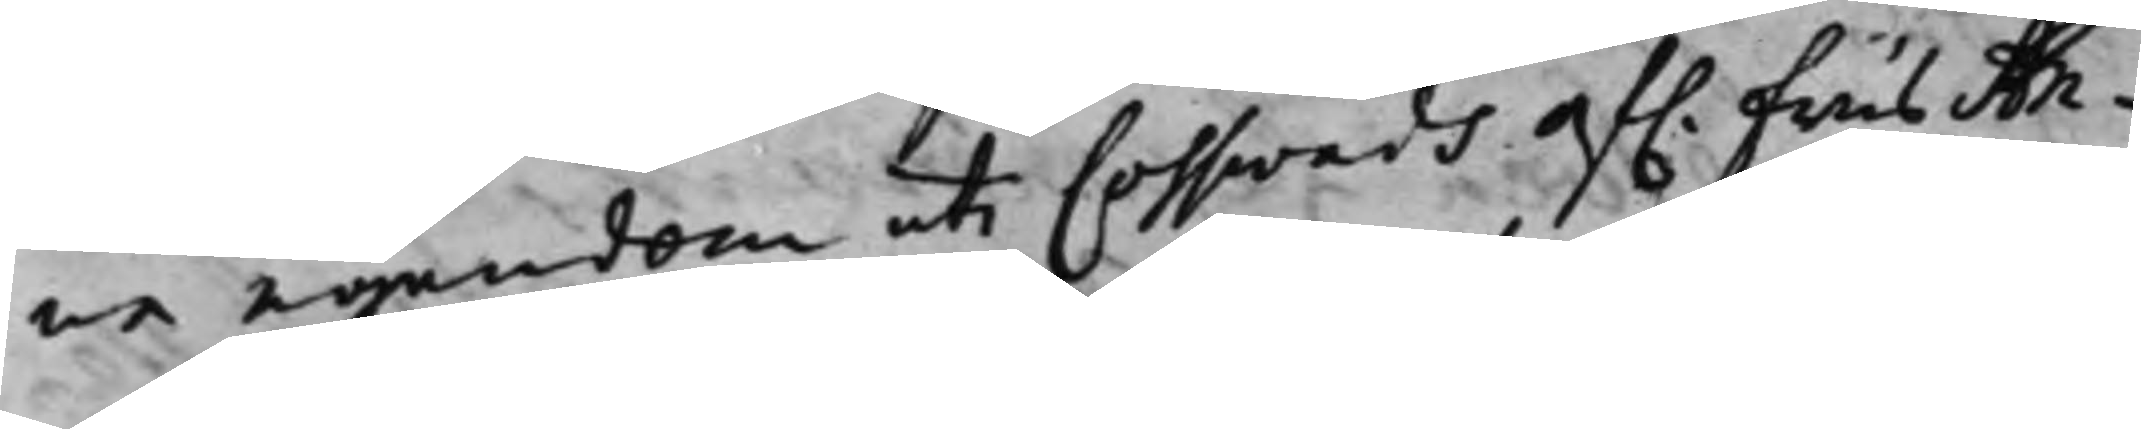na egendom uti Cosswads af. frus An¬
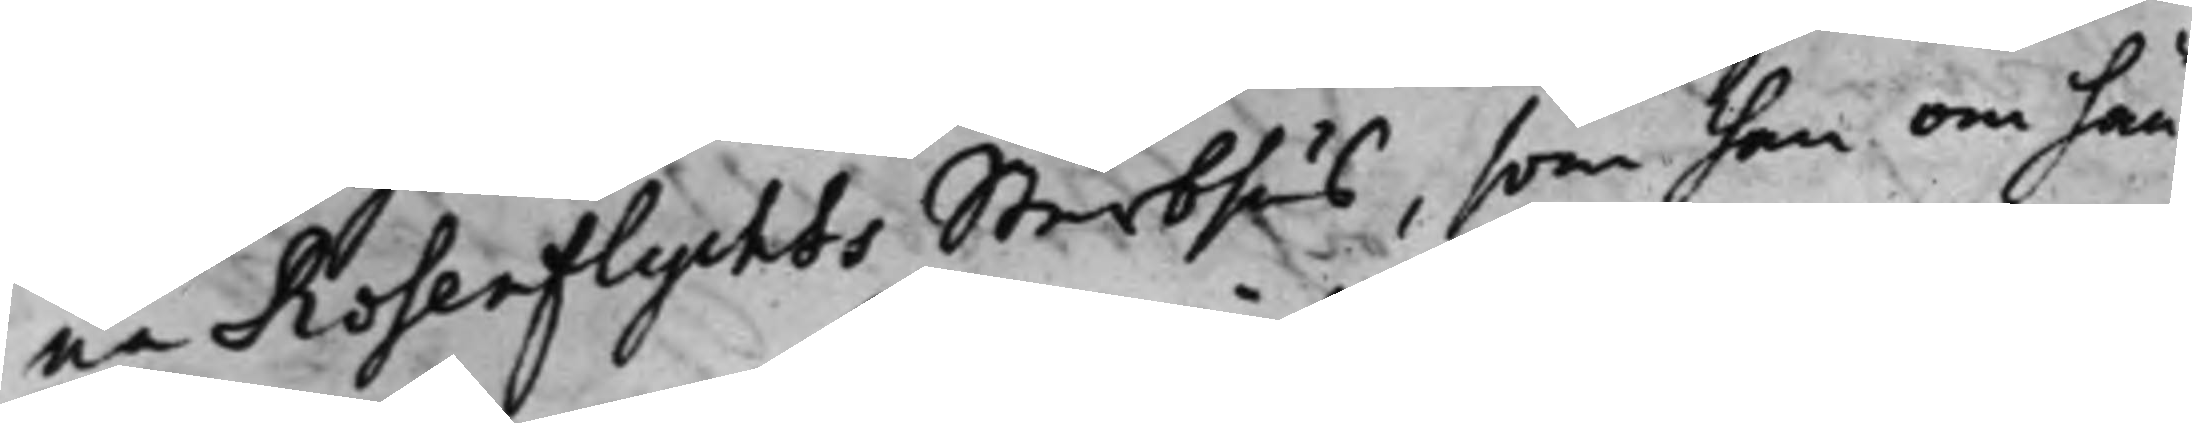na Rosenflychts Sterbhus, som han om hän¬
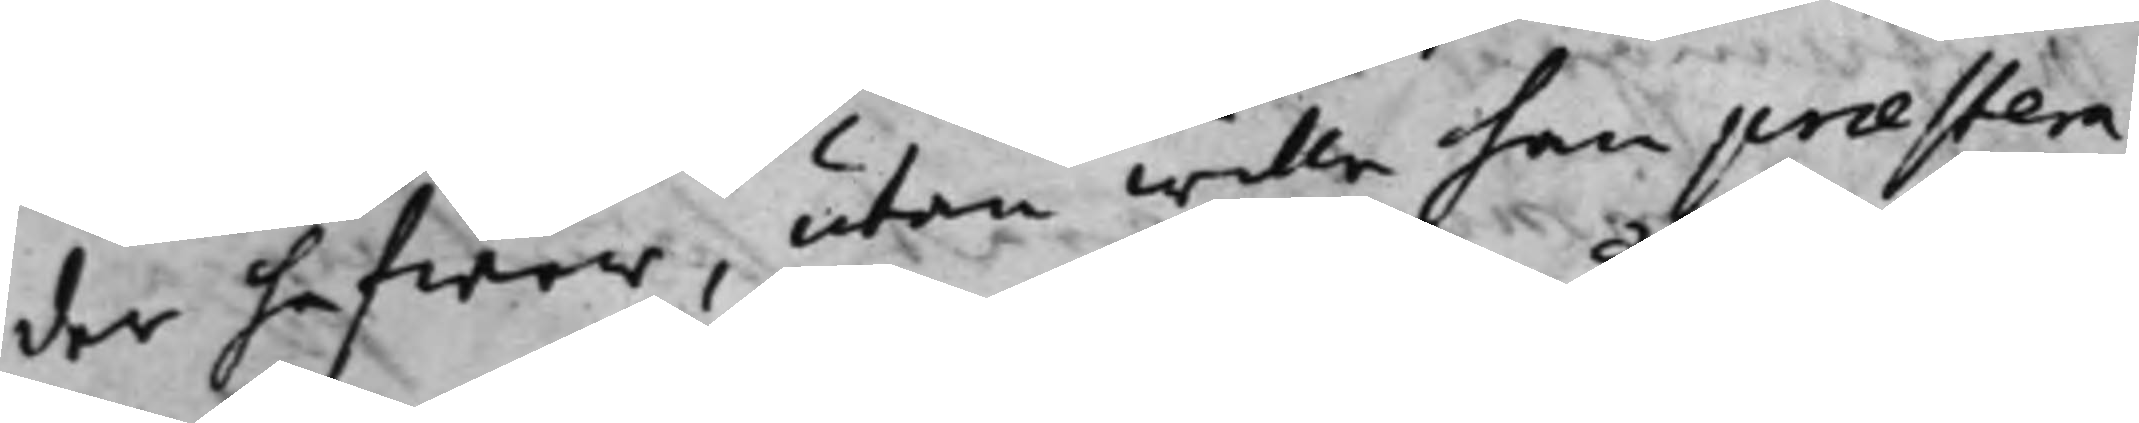der hafwer, utan wille han praestera
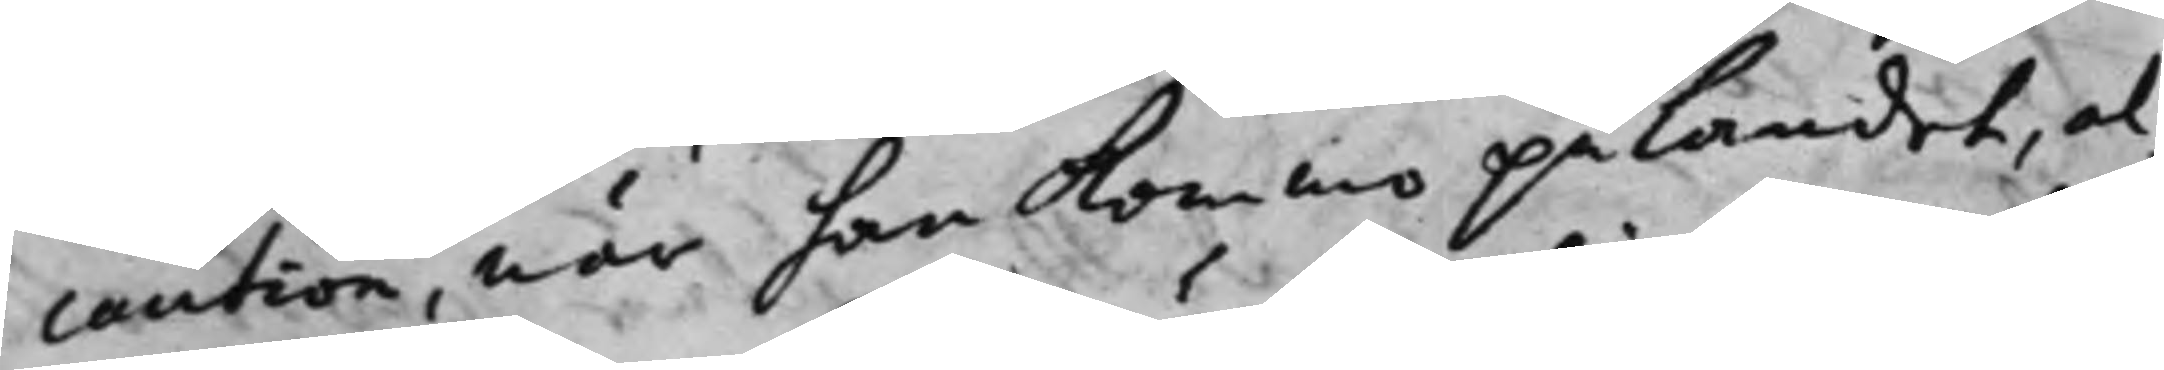caution, när han kommo på Landet, al¬
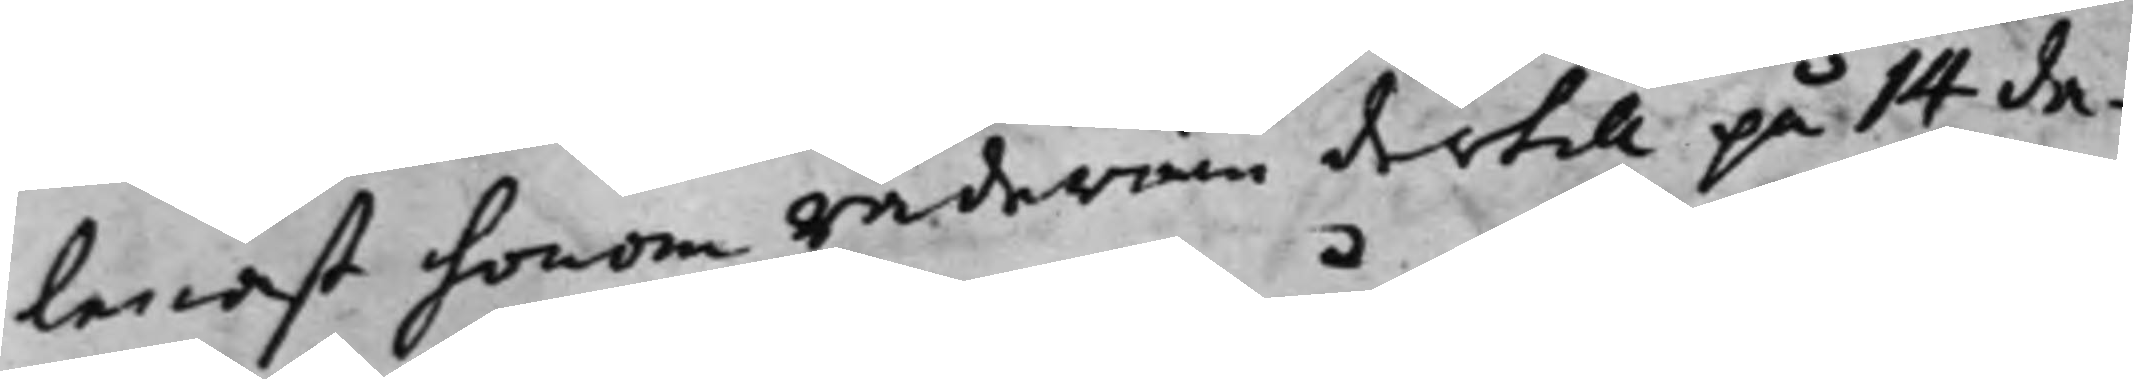lenast honom råderum dertill på 14 da¬
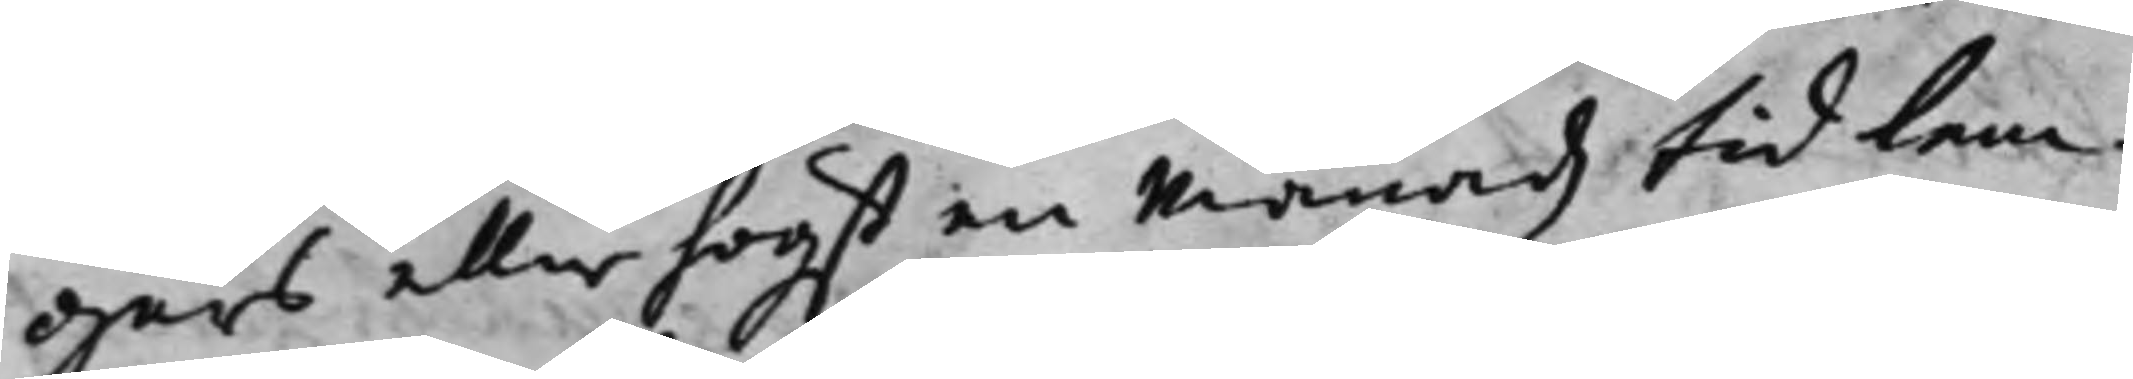gars eller högst en Månadz tid lem¬
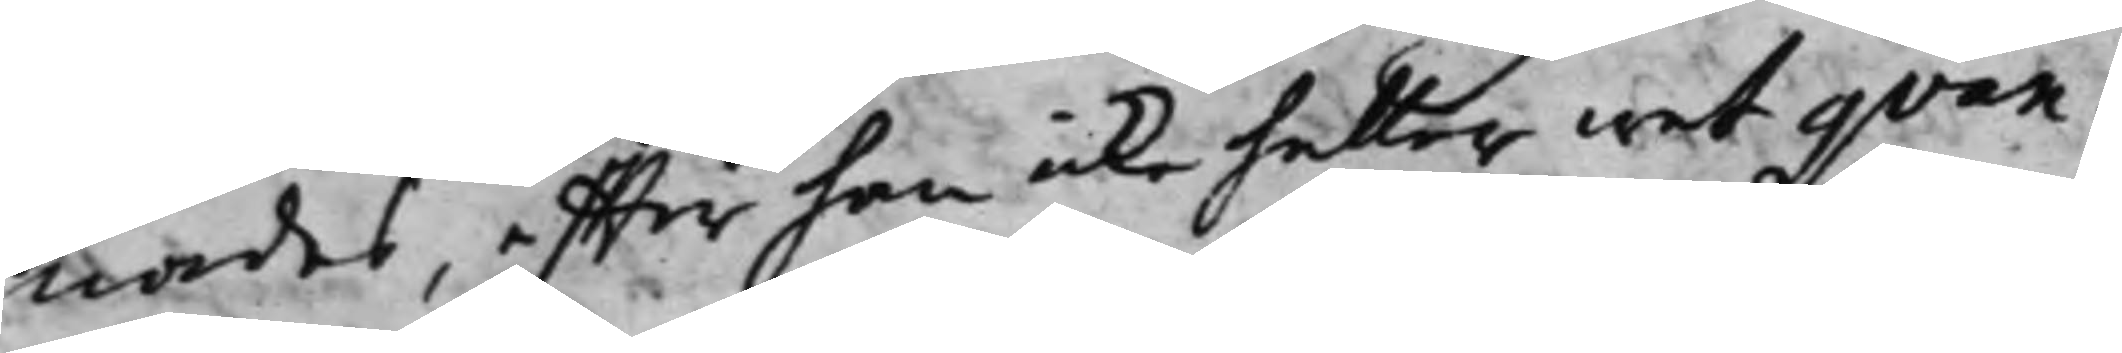nades, effter han icke heller wet qvan¬
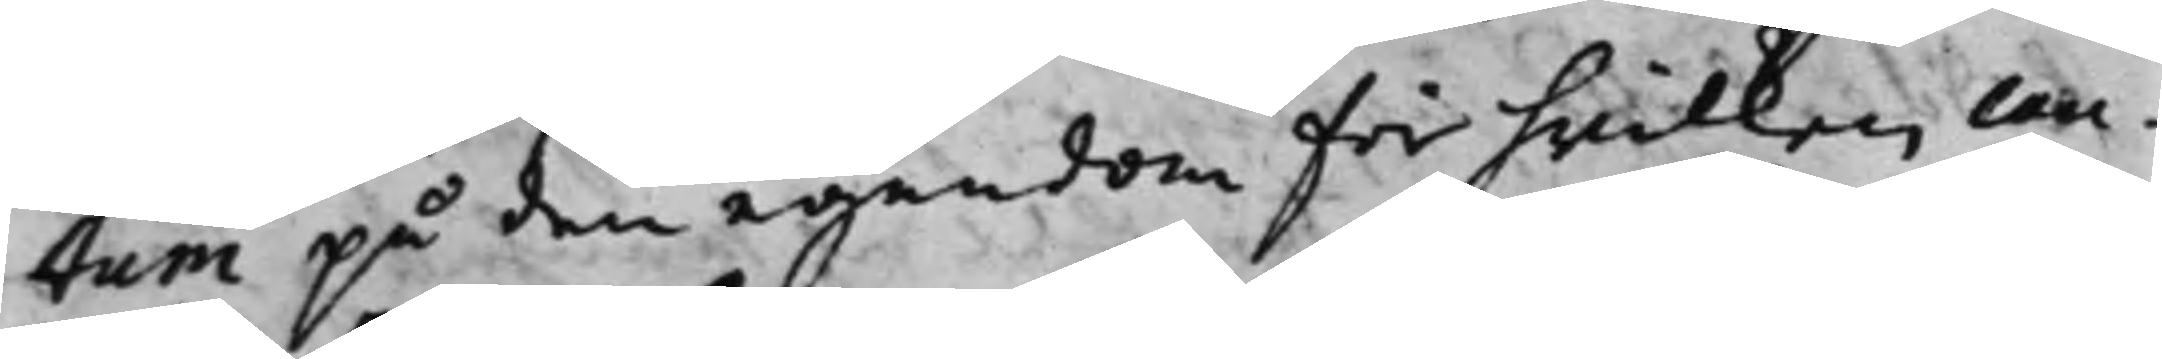tum på den egendom för hwilken cau¬
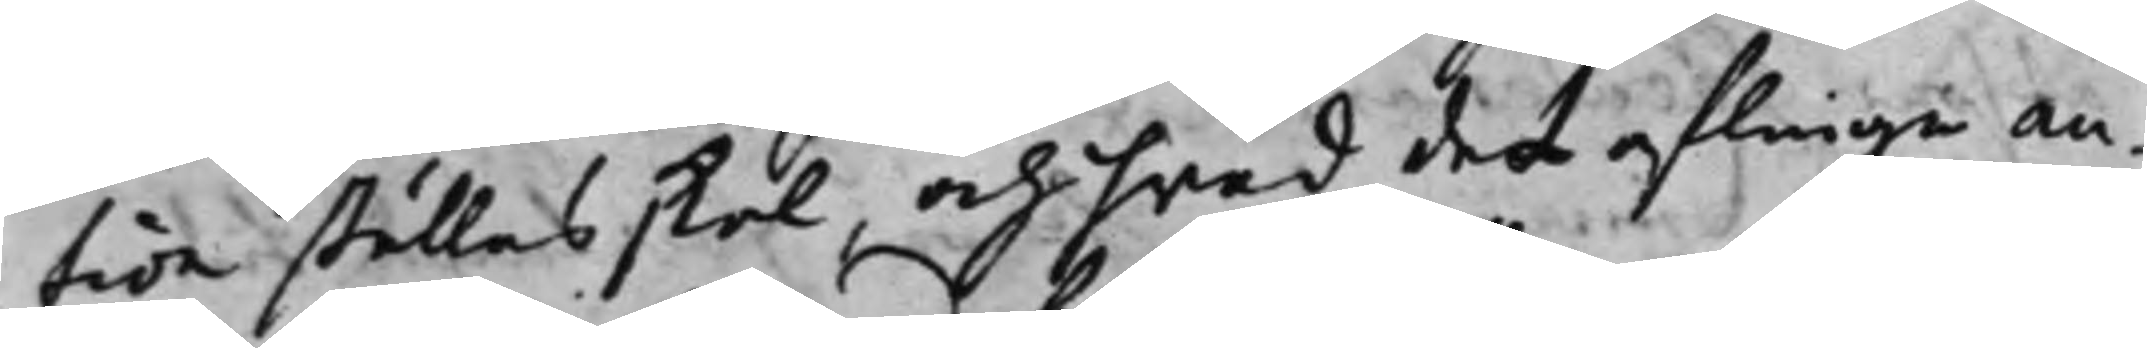tion ställas skal, och hvad det aflinge an¬
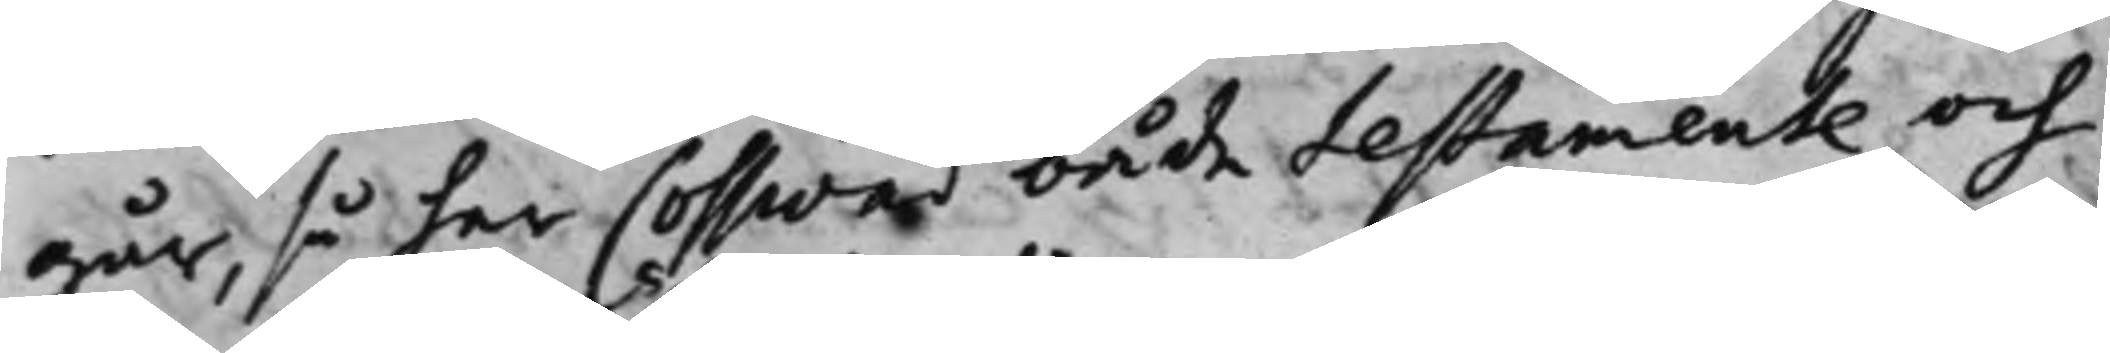går, så har Cosswad både testamente och
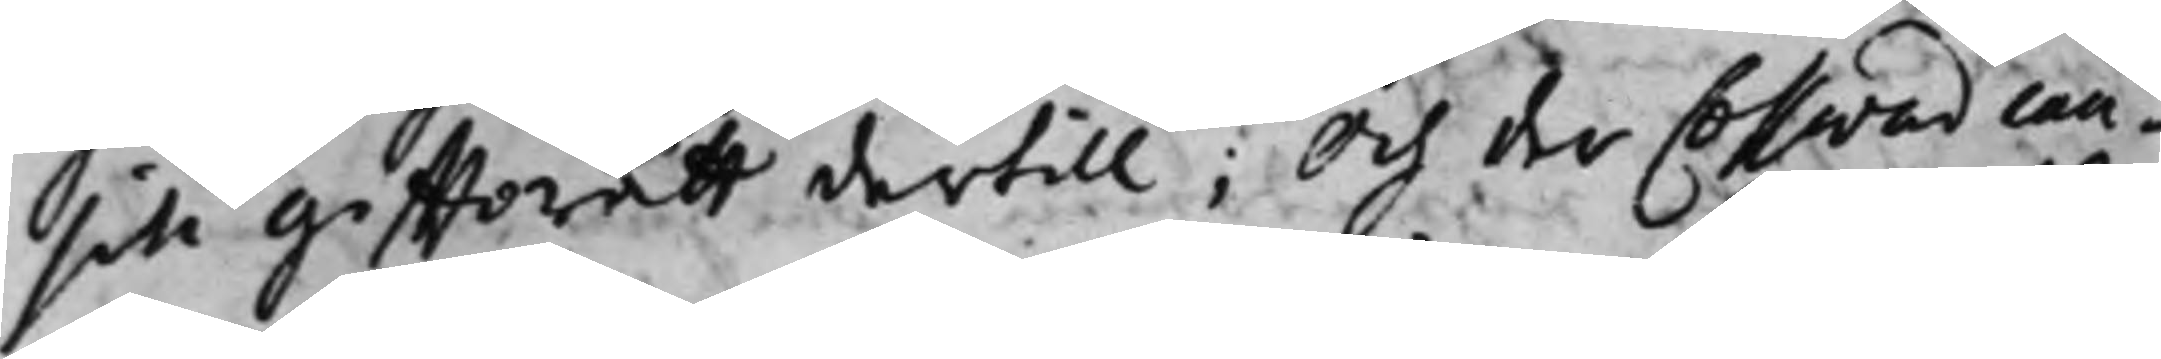sin gifftorätt dertill; Och der Cosswad cau¬
